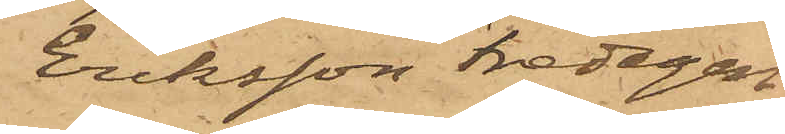Eriksson Fredagen
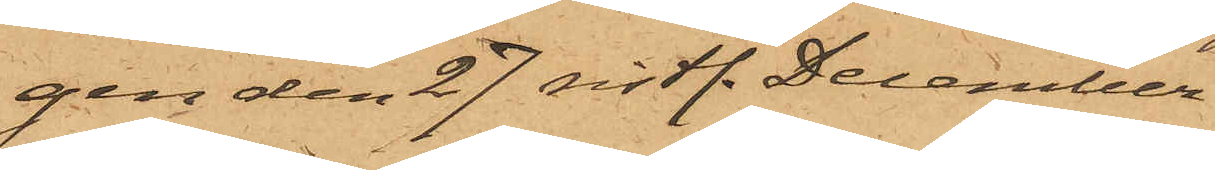gen den 27 sistl. December
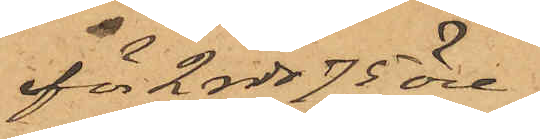för 2 rdr 75 öre
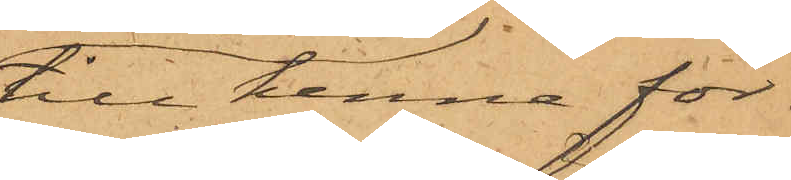till henne för¬
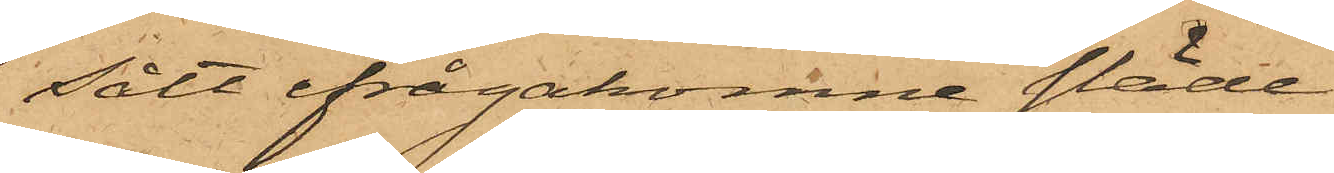sålt ifrågakomne släde
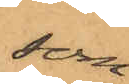som
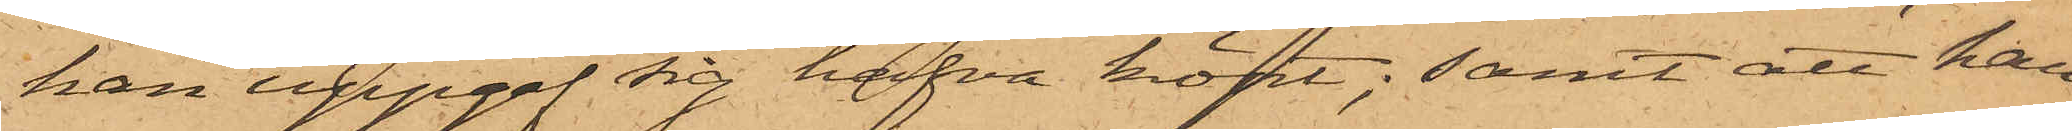han uppgaf sig hafva köpt; samt att han
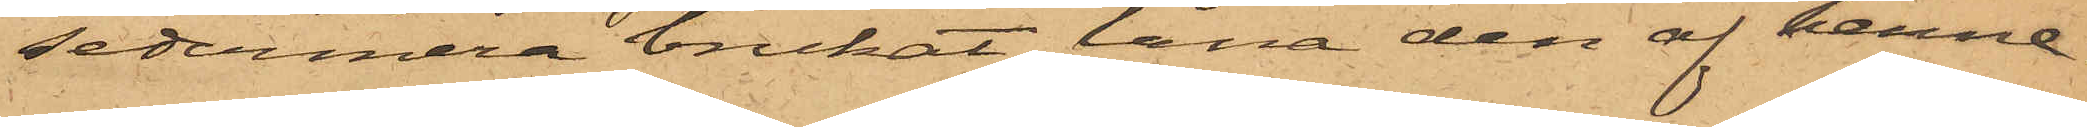sedermera brukat låna den af henne.
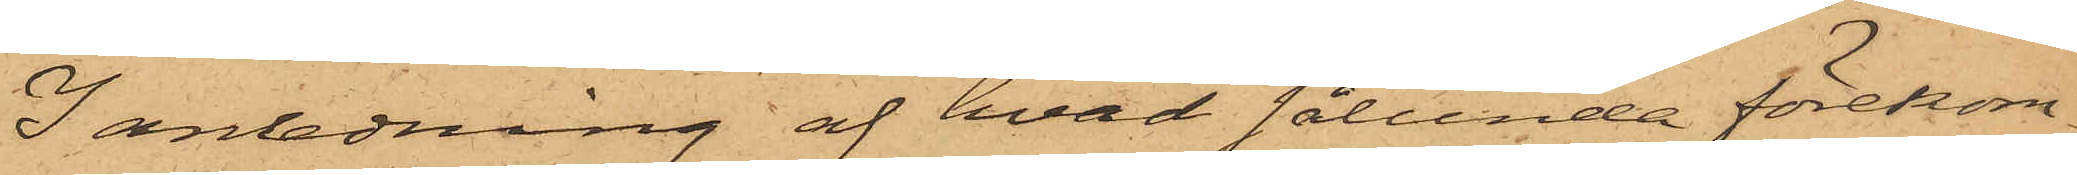I anledning af hvad sålunda förekom¬
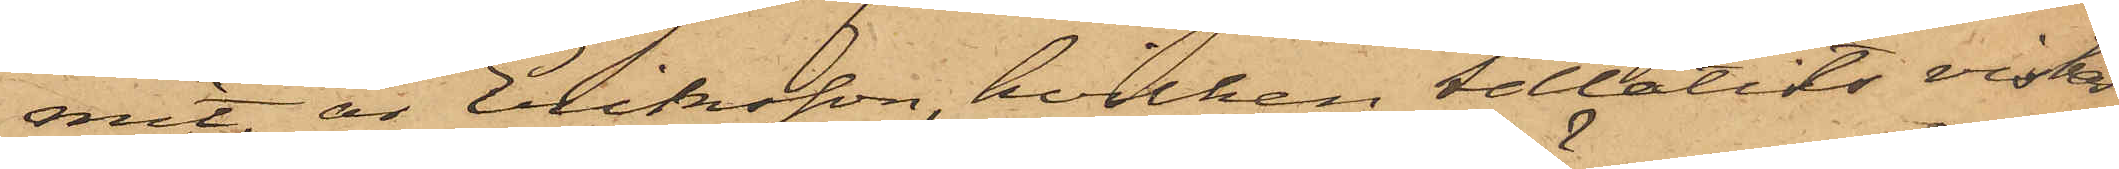mit, är Eriksson, hvilken tillåtits vistas
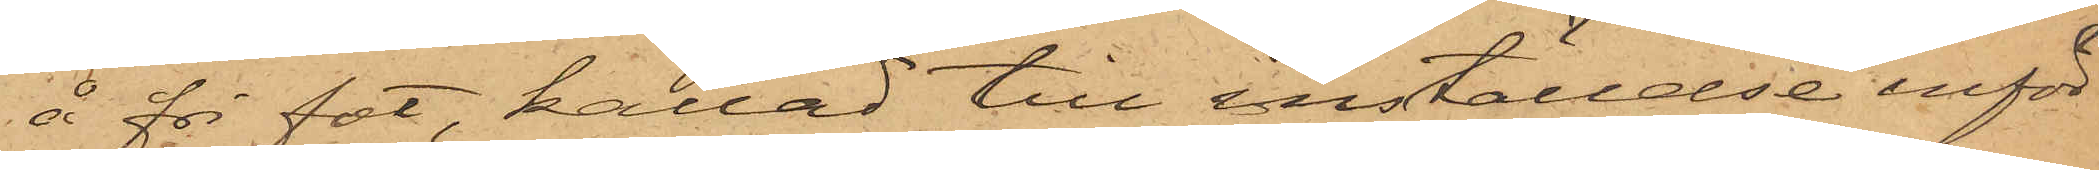å fri fot, kallad till inställelse inför
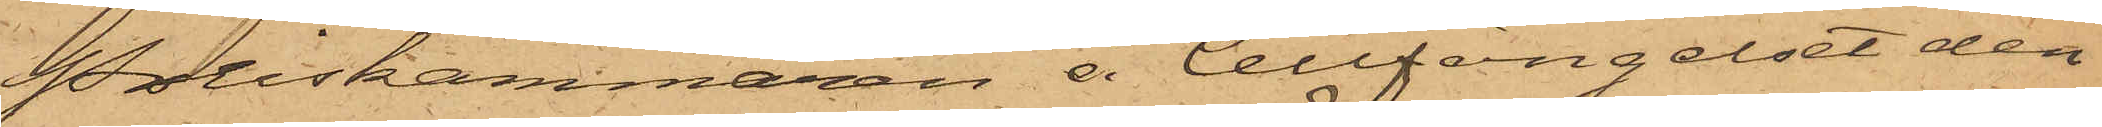Poliskammaren å Cellfängelset den¬
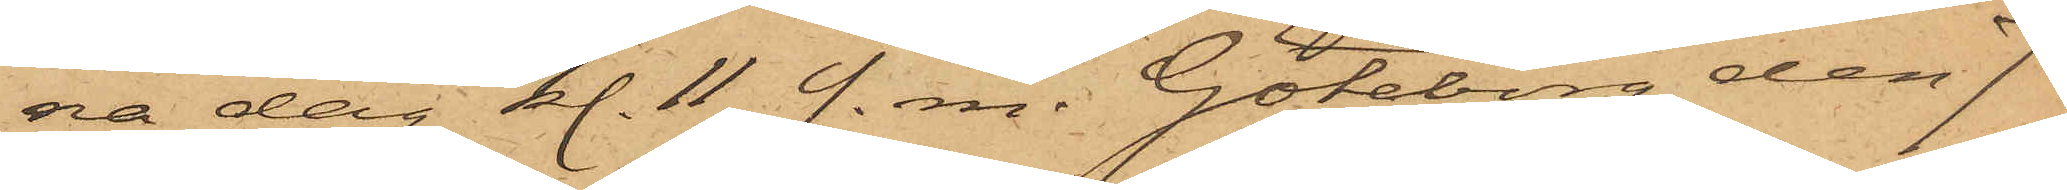na dag kl. 11 f. m. Göteborg den 7
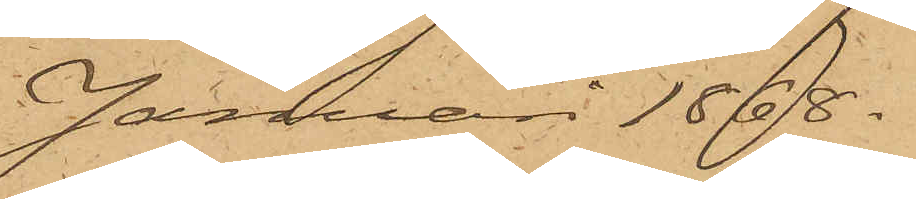Januari 1868.
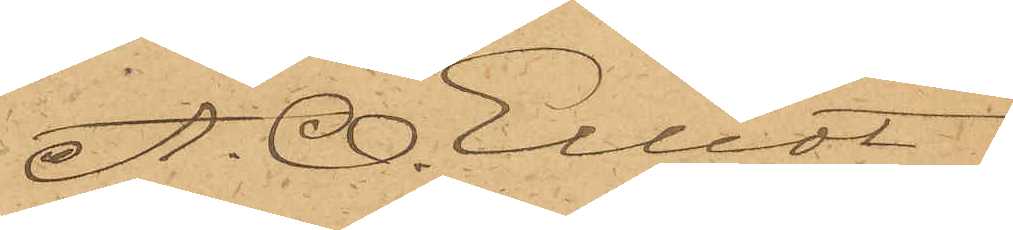A. O. Elliot.
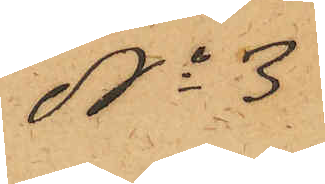No 3
